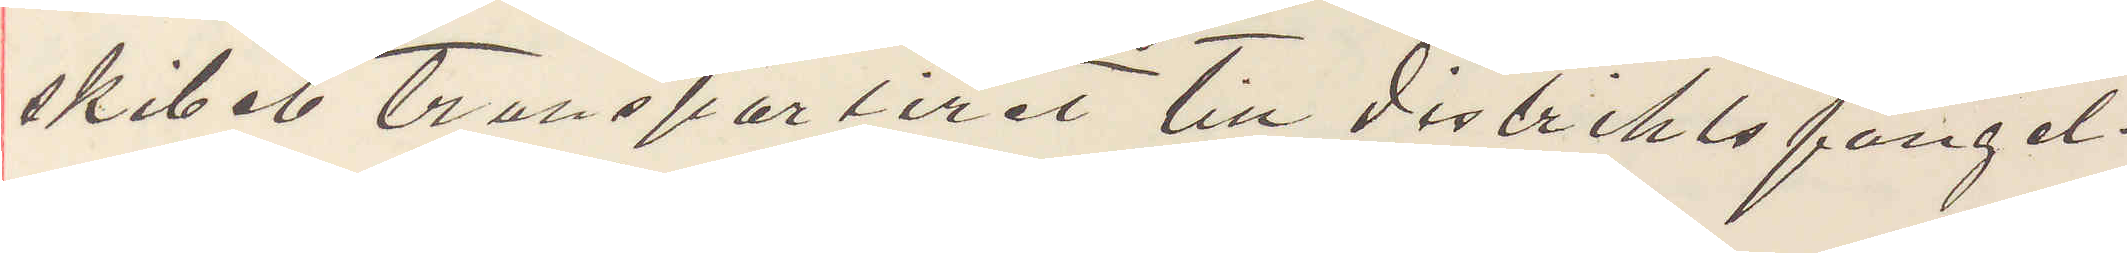skibet trasportiret till distriktsfängel¬
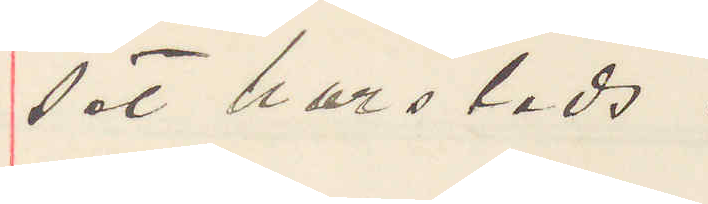set harsteds.
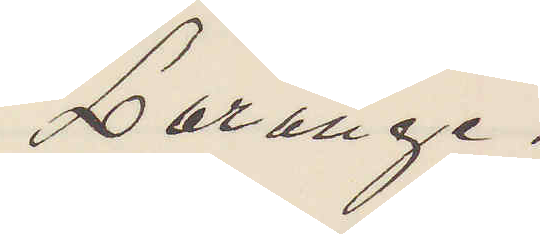Lerange.
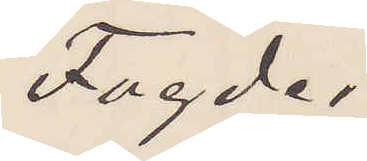Fogde
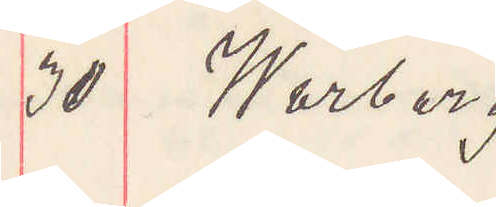30 Warberg.
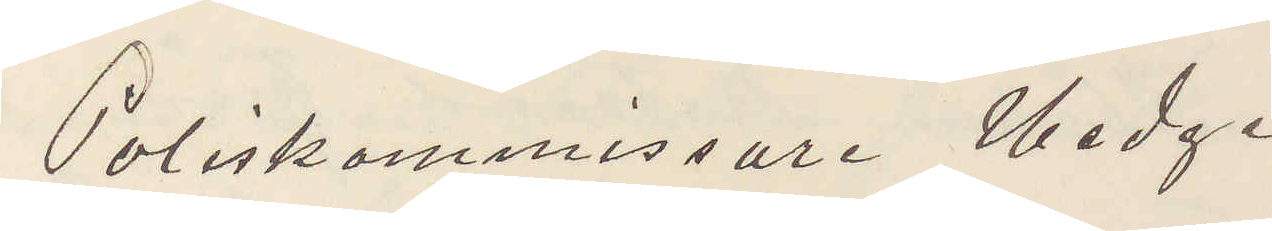Poliskommissarie Hedge
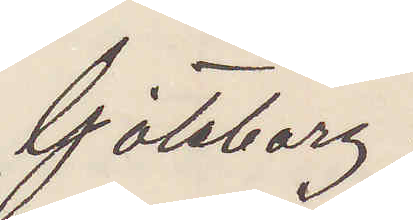Göteborg.
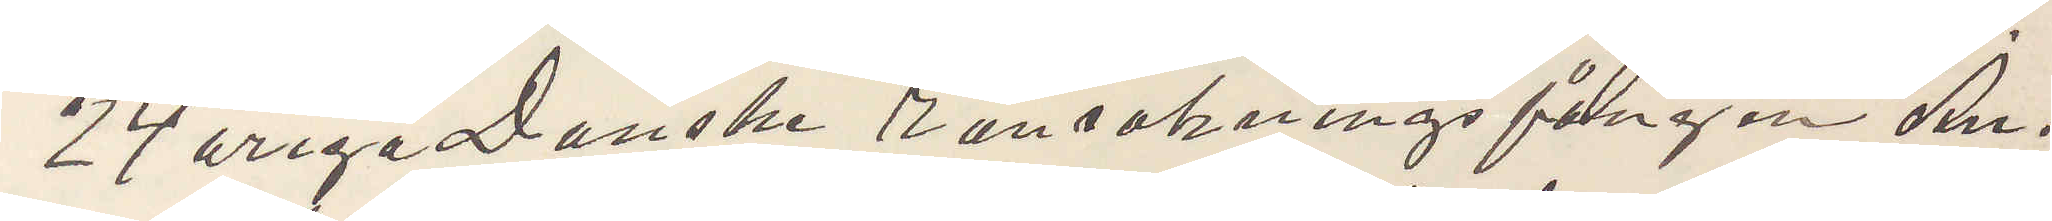24 åriga Danske ransakningsfången An¬
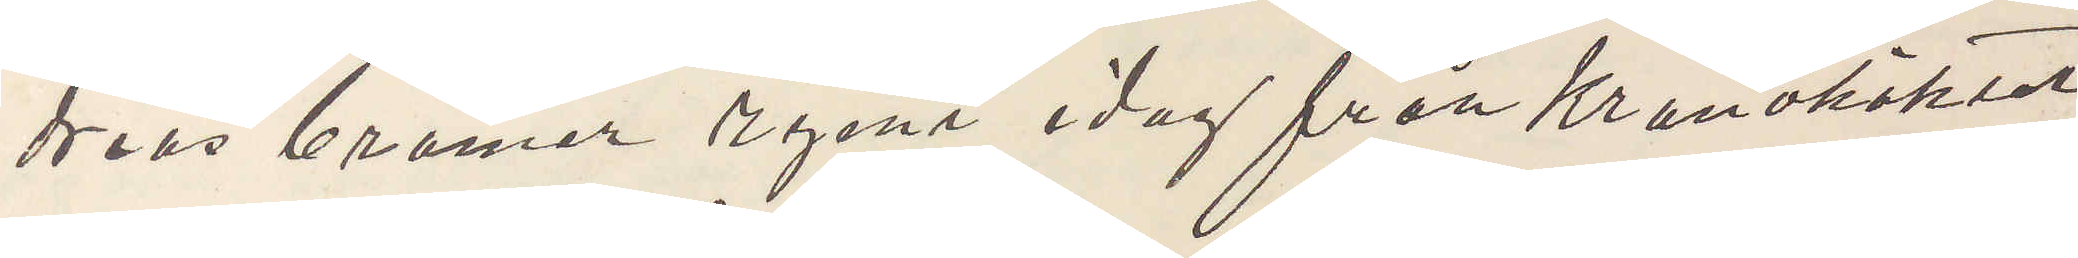dreas Cramer rymt idag från Kronohäktet
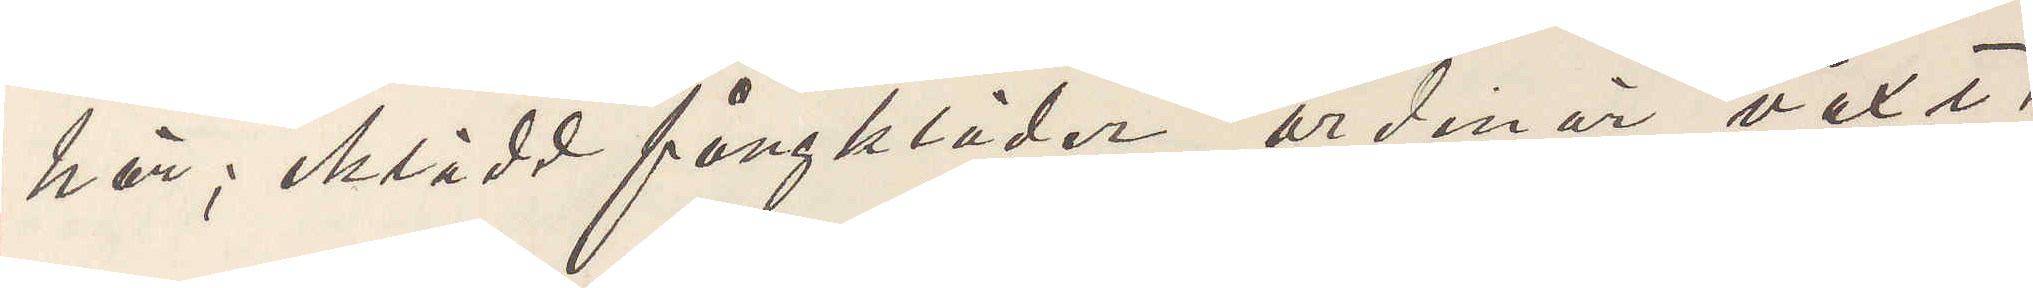här iklädd fångkläder, ordinär växt,
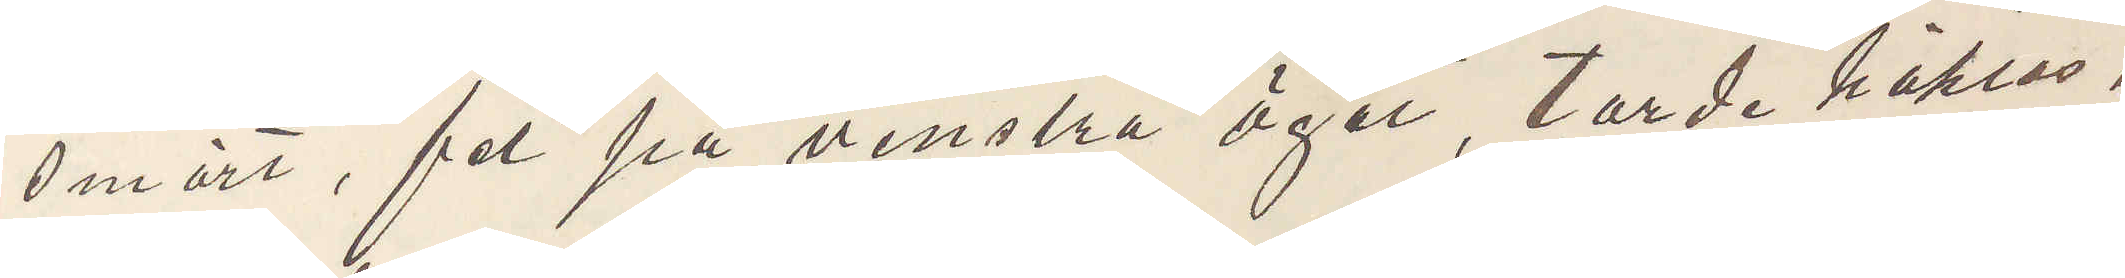smärt, fel på venstra ögat, torde häktas,
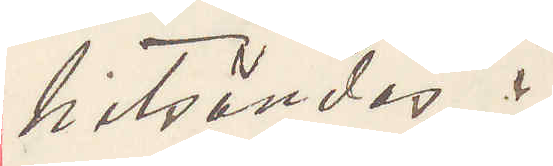hitsändas.
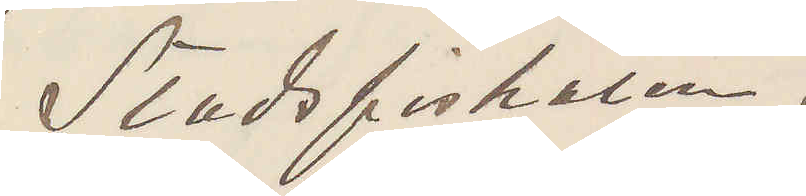Stadsfiskalen.
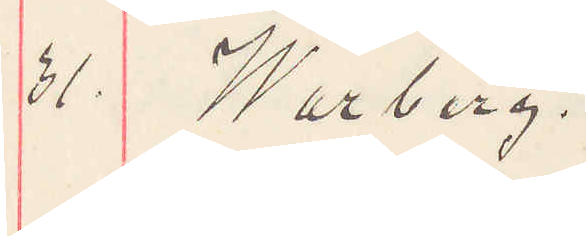31. Warberg.
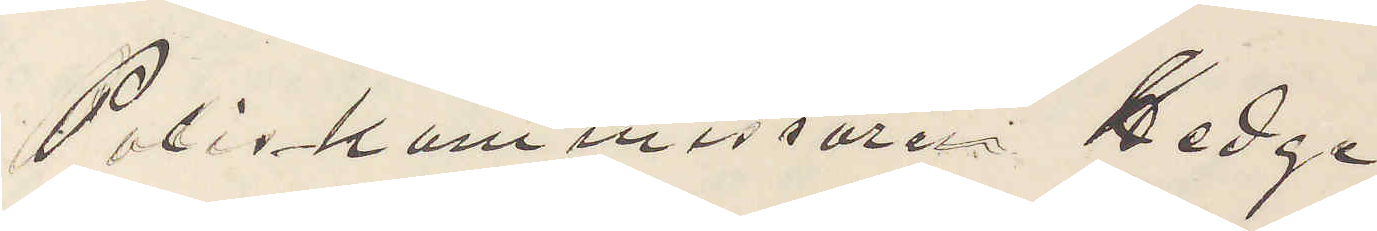Poliskammaren Hedge.
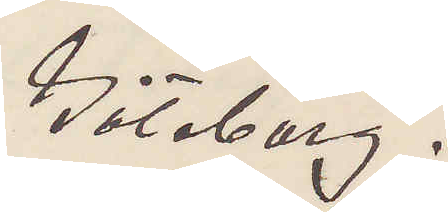Göteborg.
